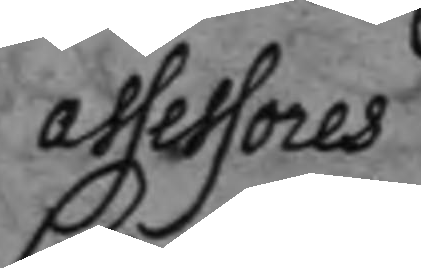assessores
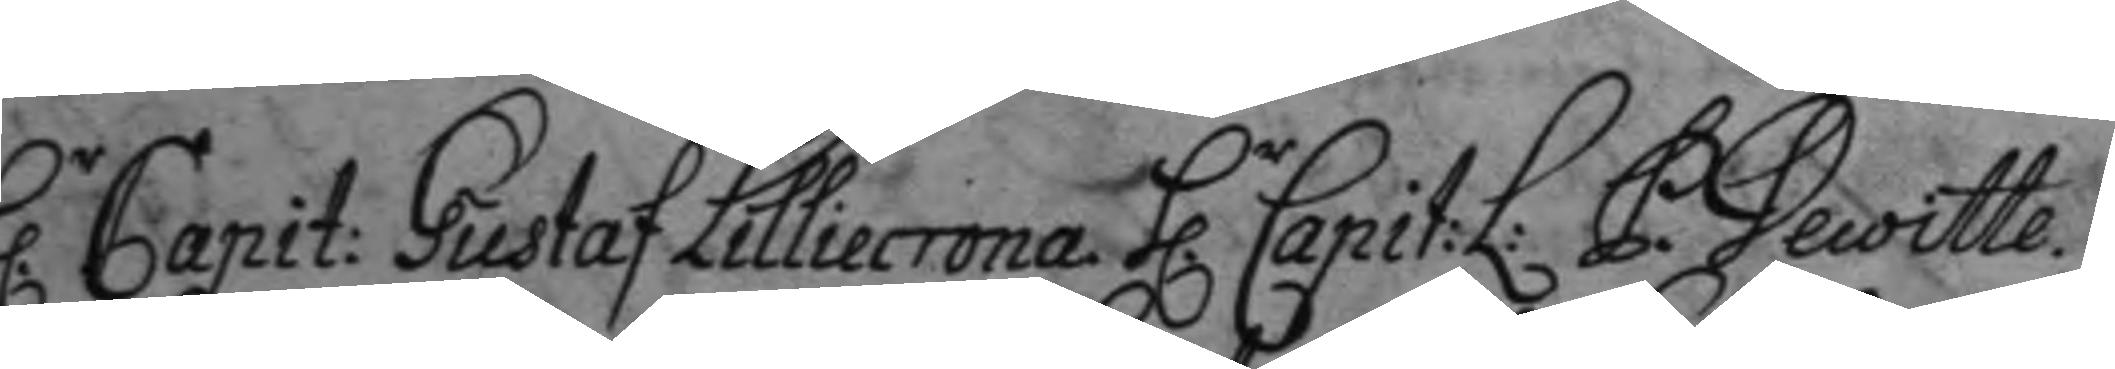h.r Capit: Gustaf Lilliecrona. h.r Capit:L: P. Decoitte.
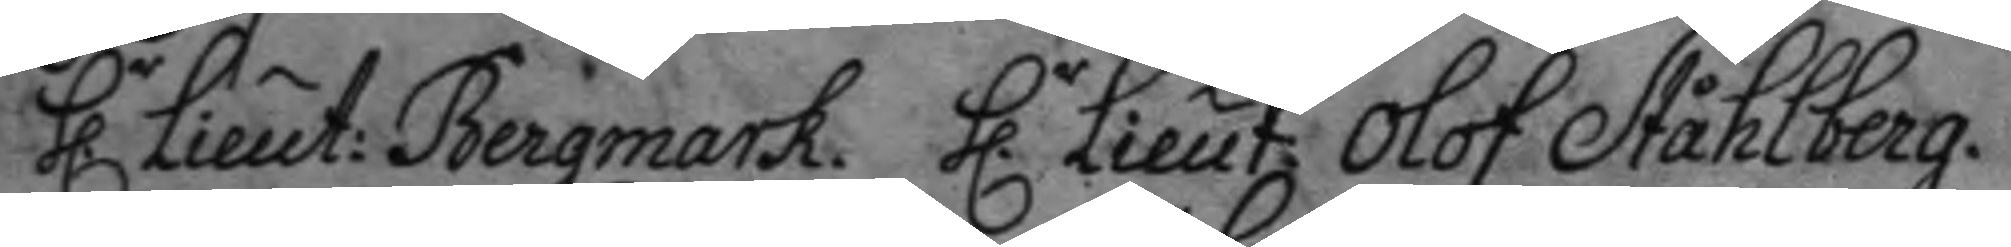h.r Lieut: Bergmark. h.r Lieut. Olof Ståhlberg.
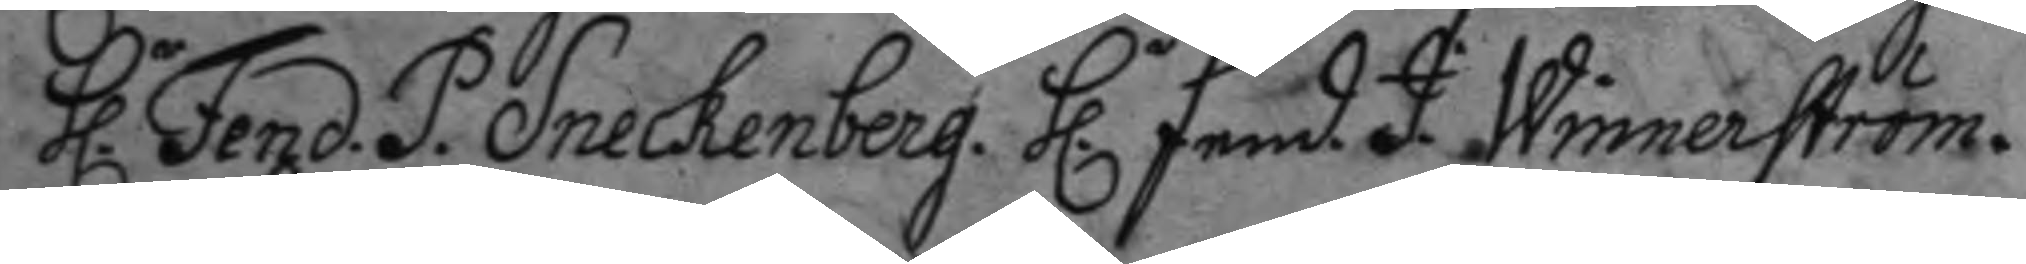h.r Fend. P. Sneckenberg. h.r fend. J. Winnerström.
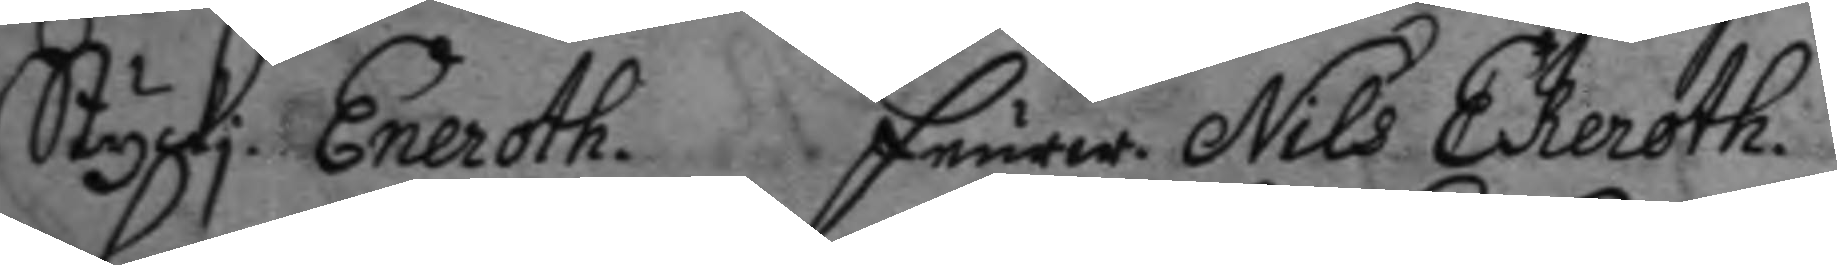Styckj. Eneroth. feurw. Nils Ekeroth.
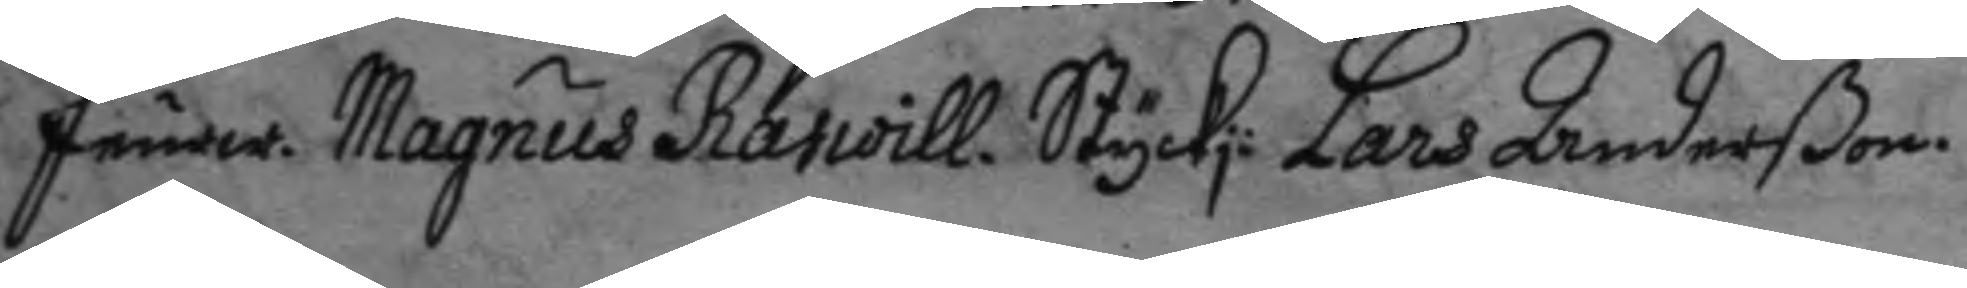feurw. Magnus Rapoill. Styckj: Lars Anderßon.
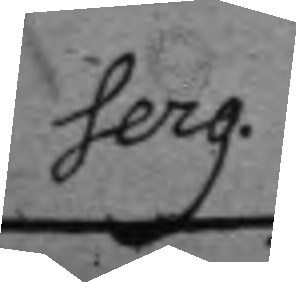Serg.
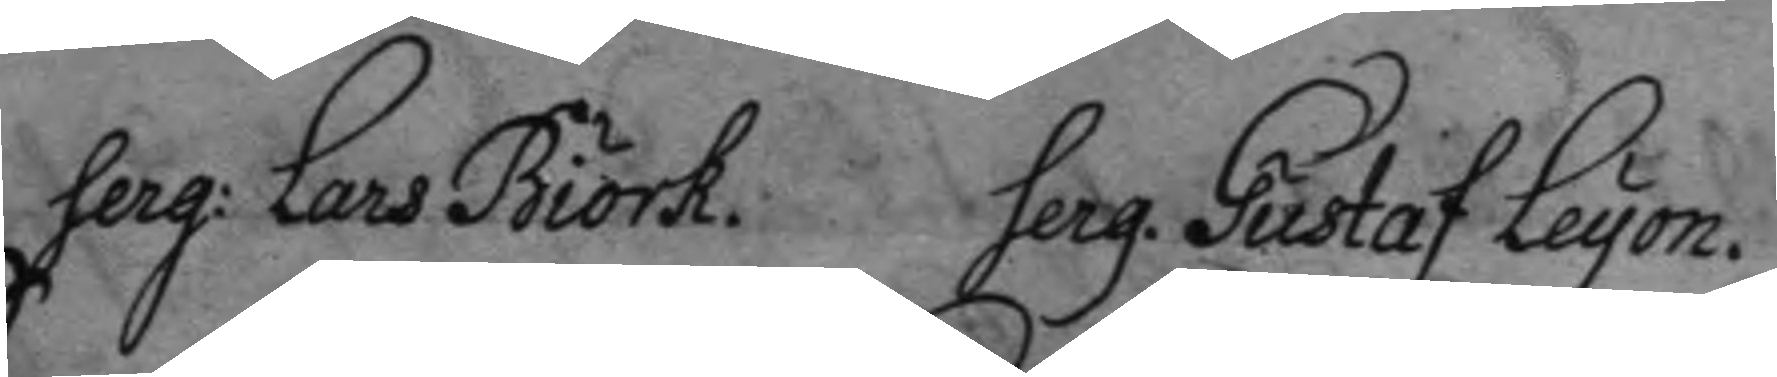Serg: Lars Biörk. Serg. Gustaf Leyon.
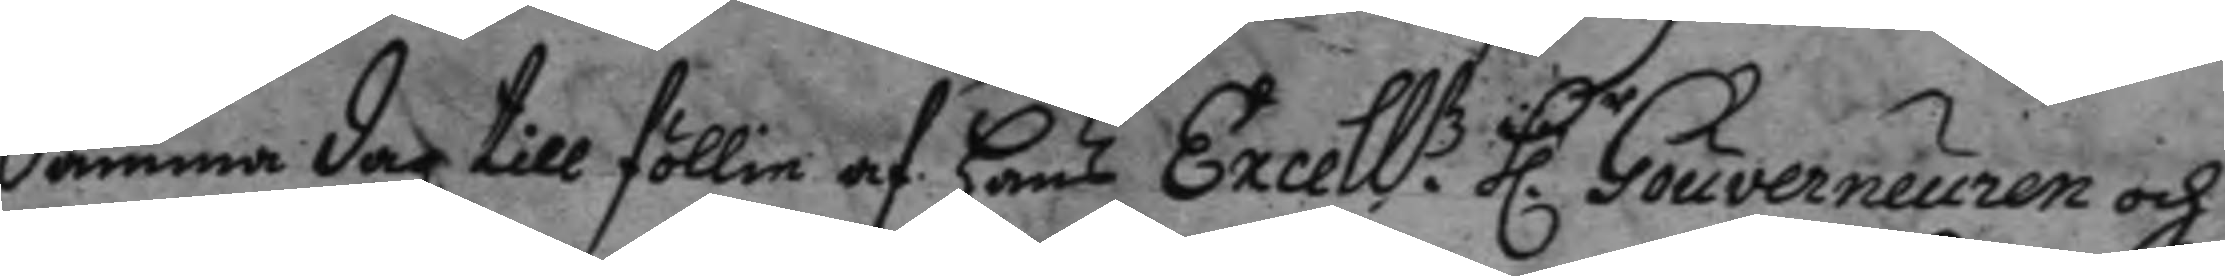Samma dag till föllie af hans Excell:tz h.r Gouverneuren och
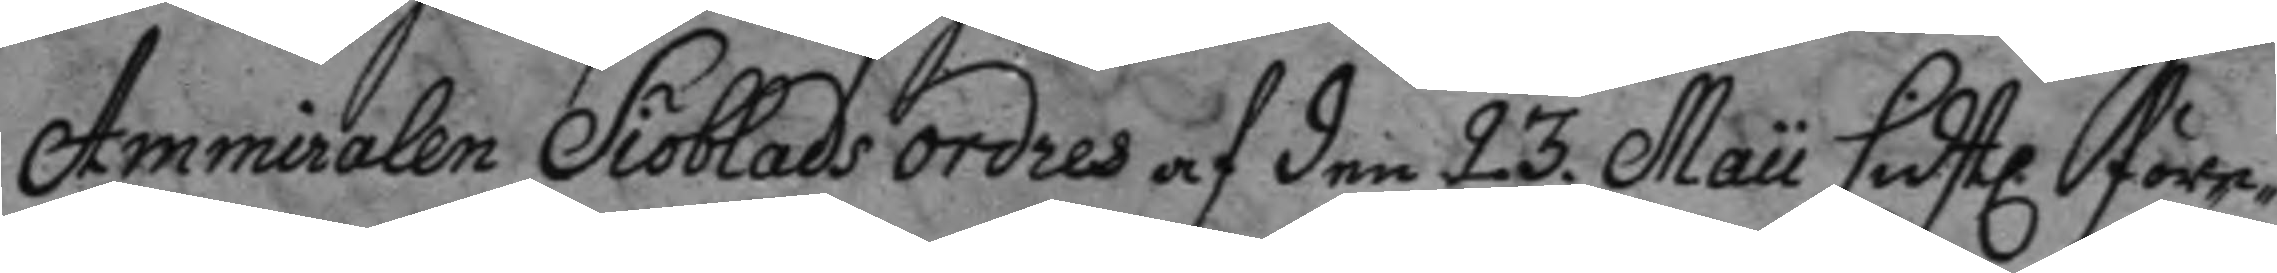Ammiralen Siöblads ordres af den 23. Maii sidstl. före¬
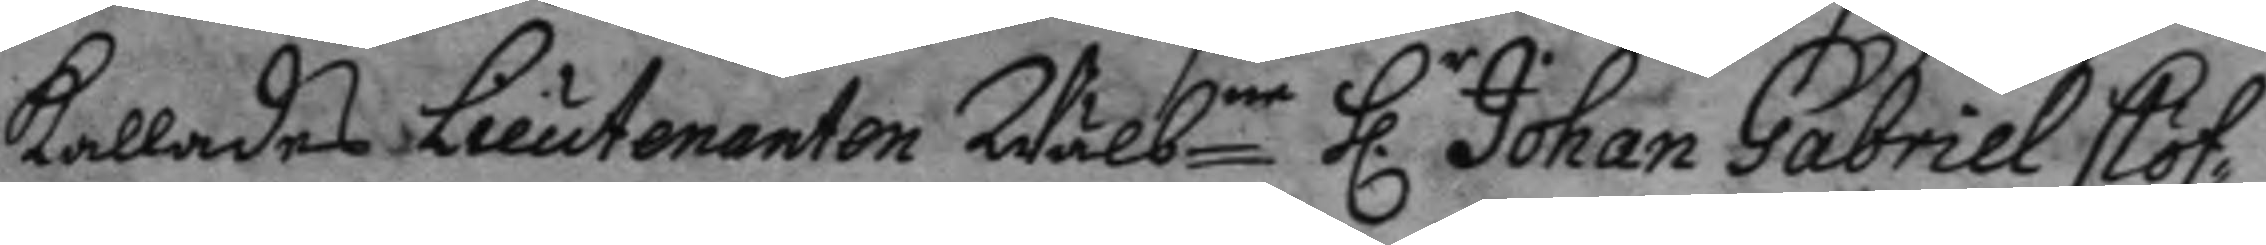kallades Lieutnanten Wälbne h.r Johan Gabriel Clöf¬
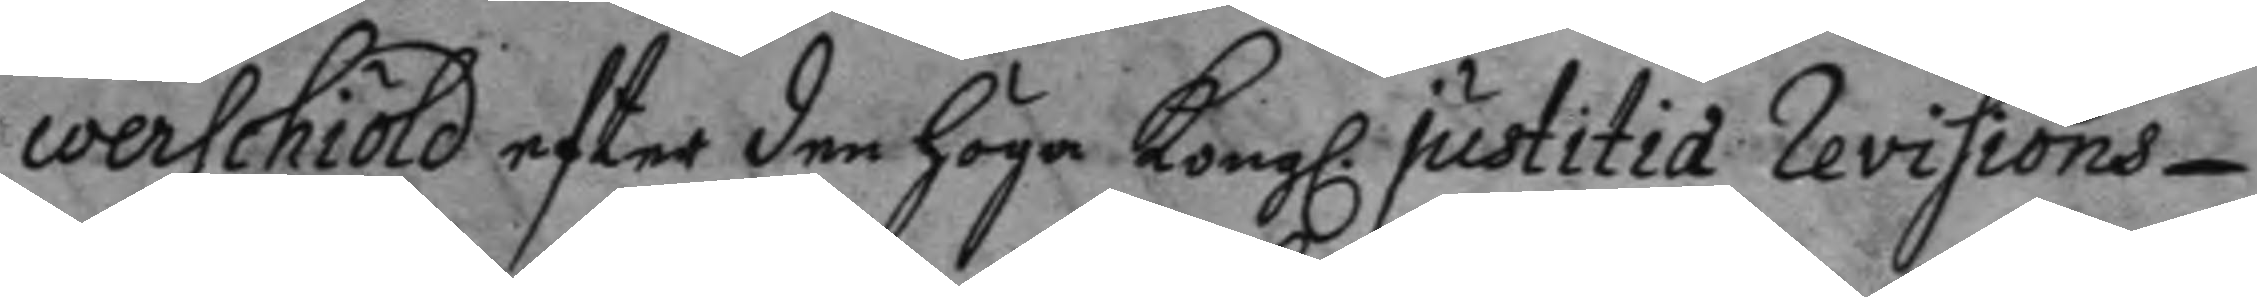werschöld efter den höga Kongl. justitia Revisions
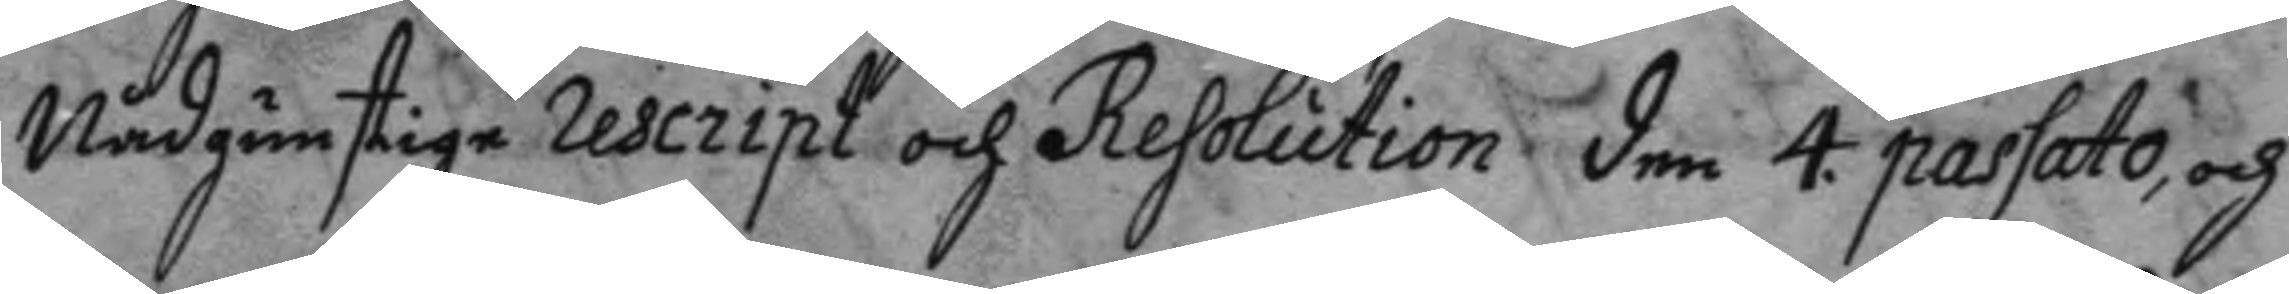Nådgunstige rescriptoch Resolution den 4. passato, och
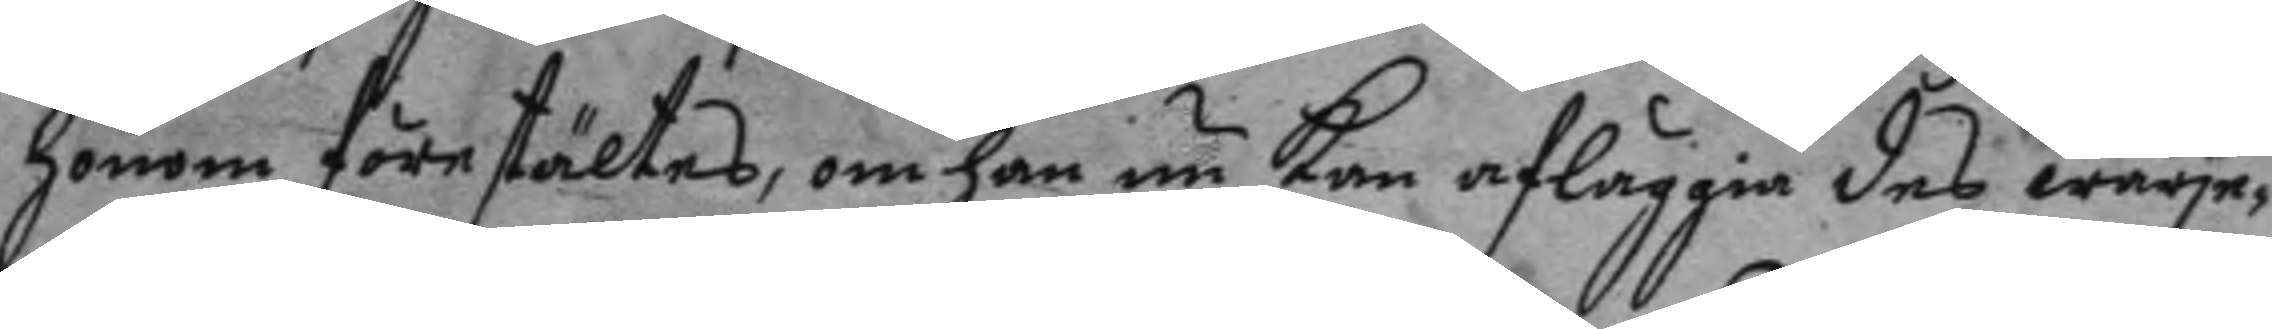honom förestältes, om han nu kan afläggia des wärje¬
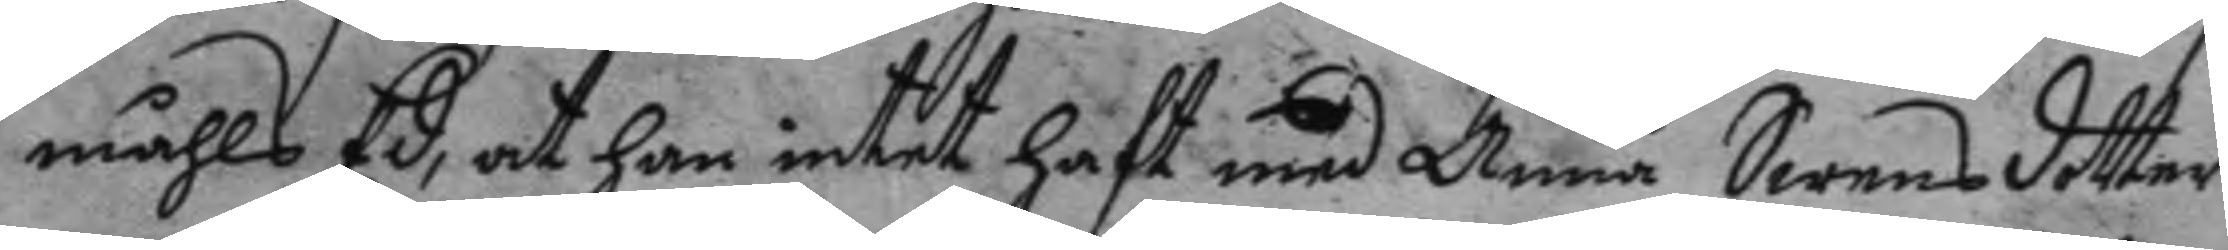måhls Ed: at han intet haft med Anna Swensdotter
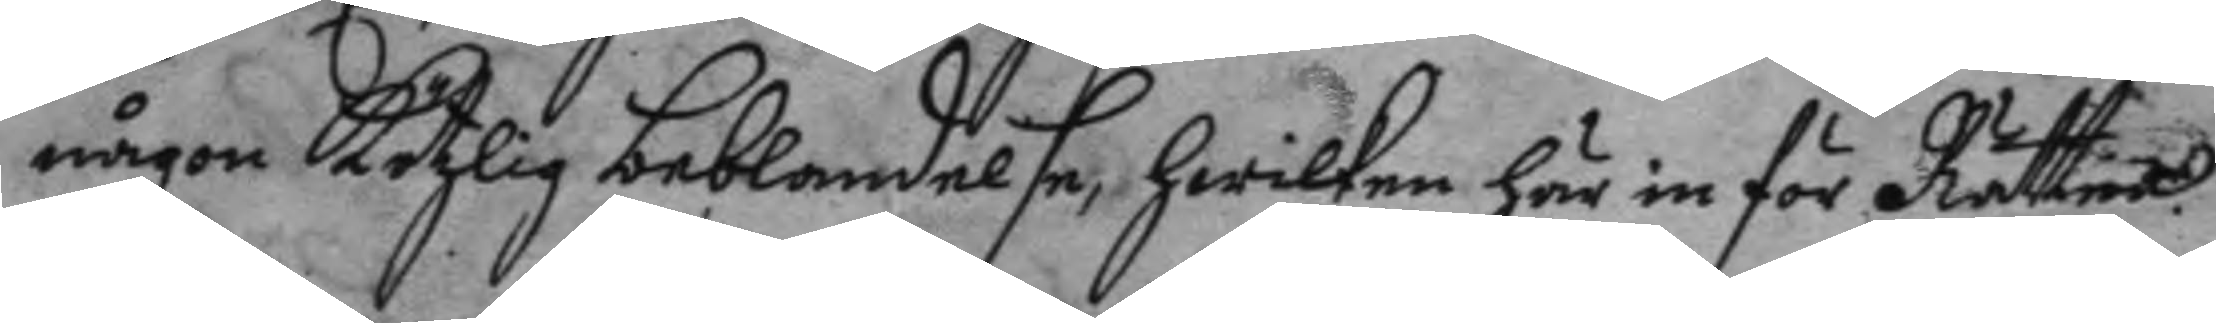någon kötzlig beblandelse, hwilken här inför Rätten
